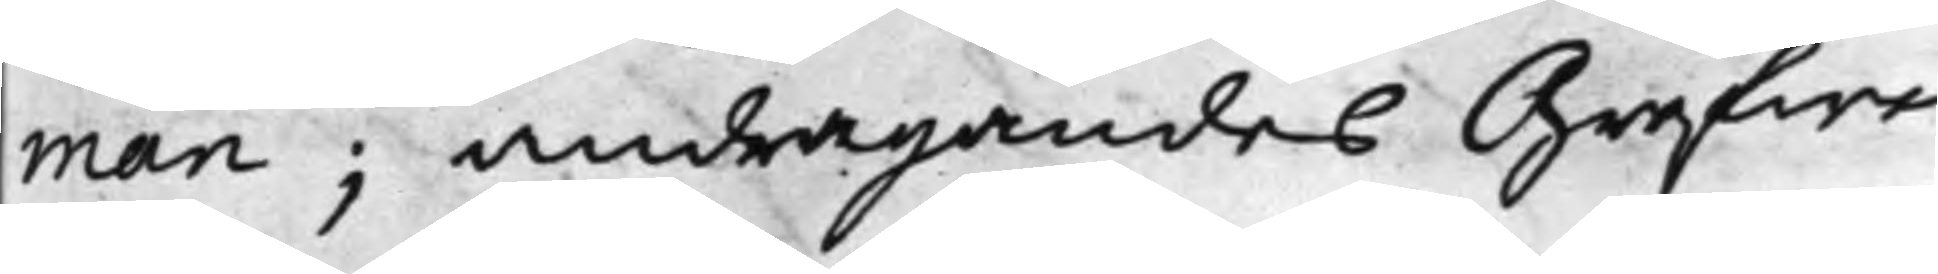man; andragandes Grefwe
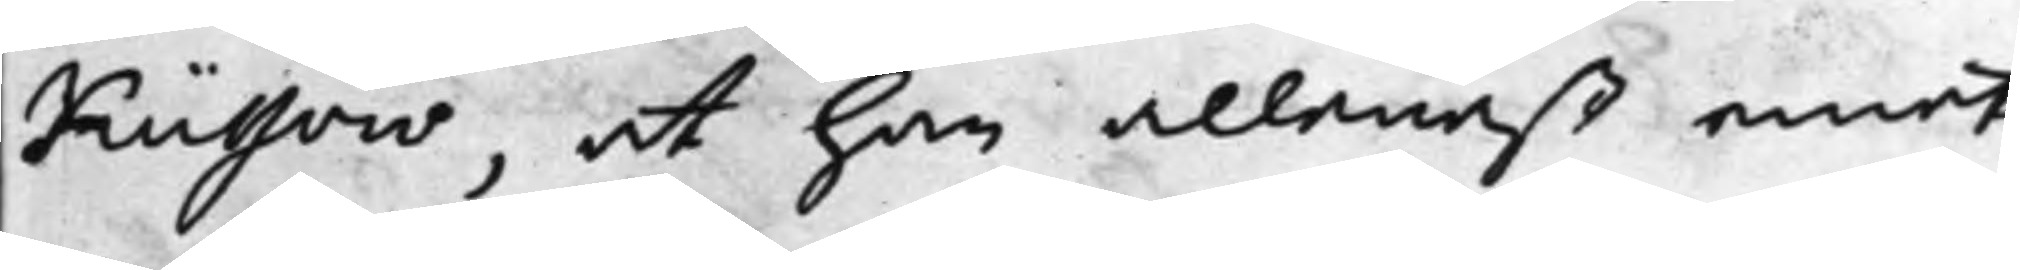Küssow, at han allenast emot
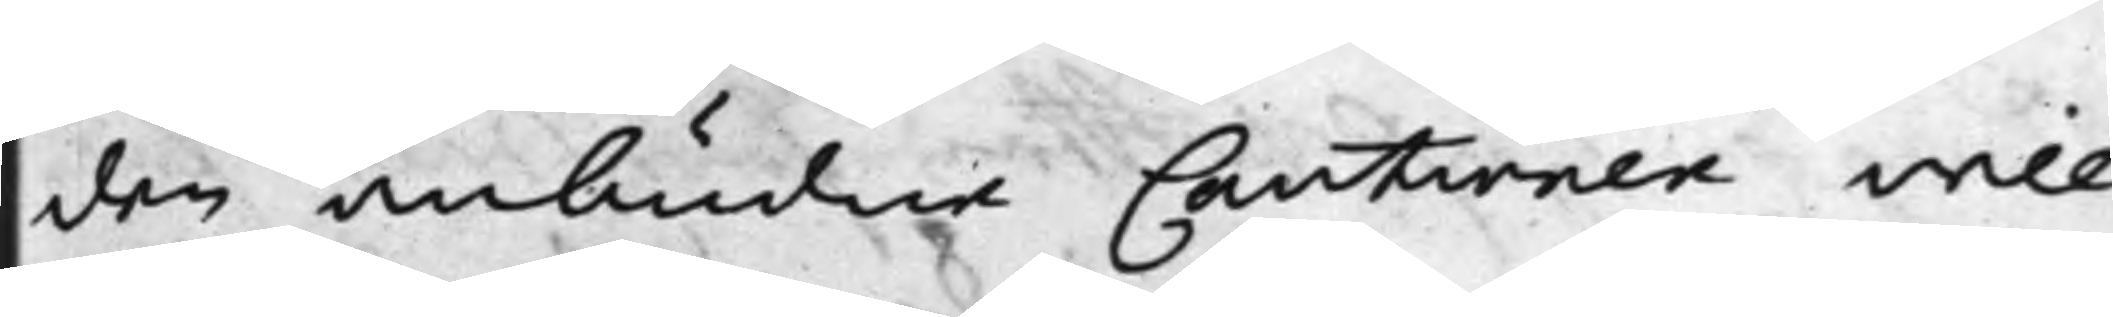den anbudne Cautionen vill
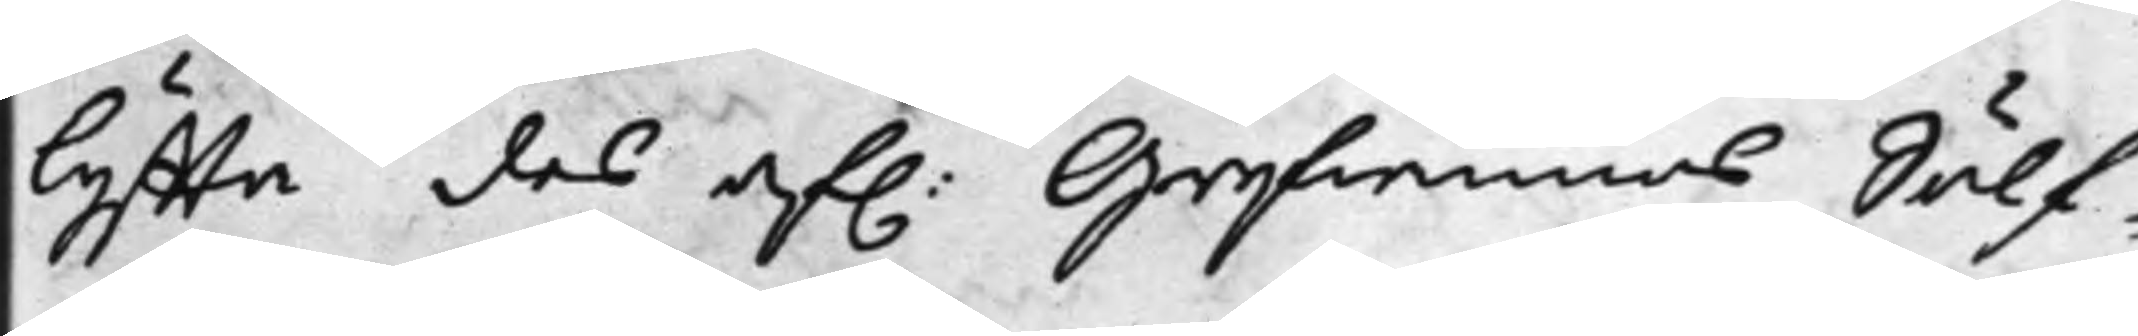lyffta des af: Grefwinnas Sölf¬
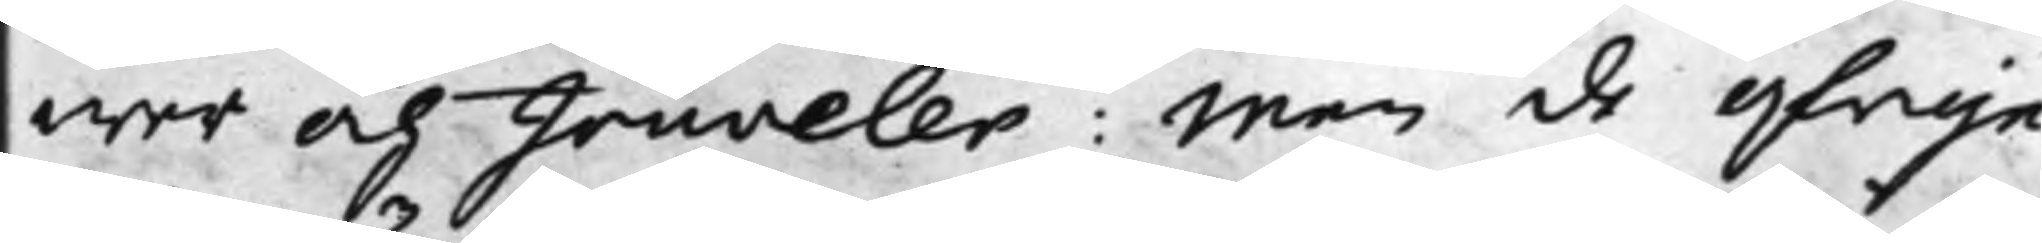wer och Jouveler: Men de öfrige
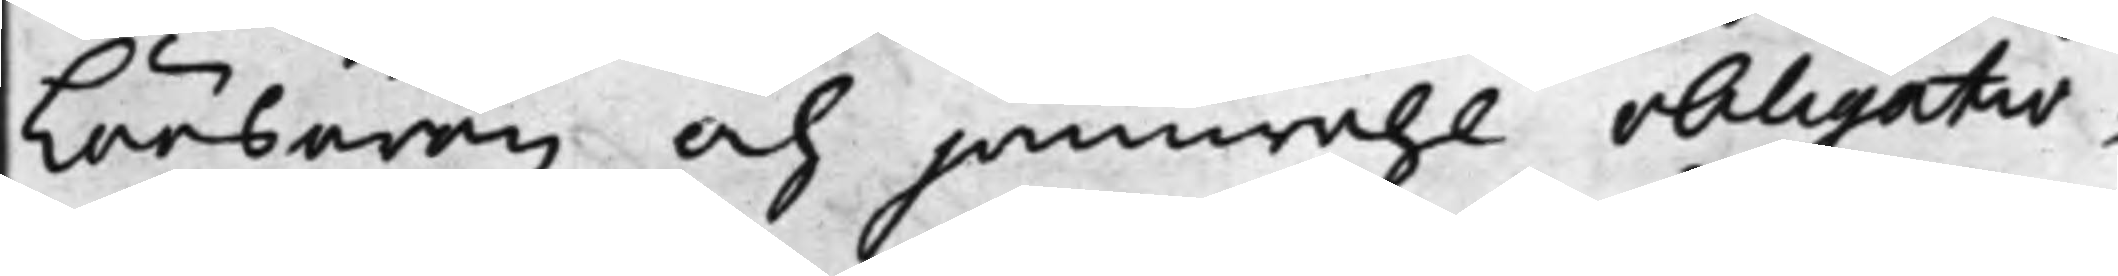Löösören och jämwähl obligatio¬
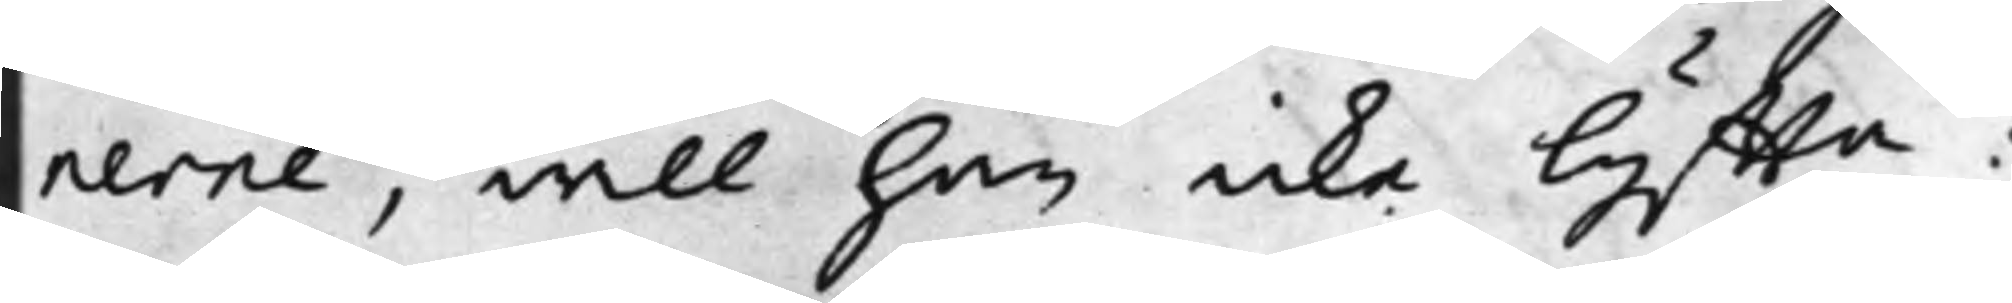nerne, vill han icke lyffta:
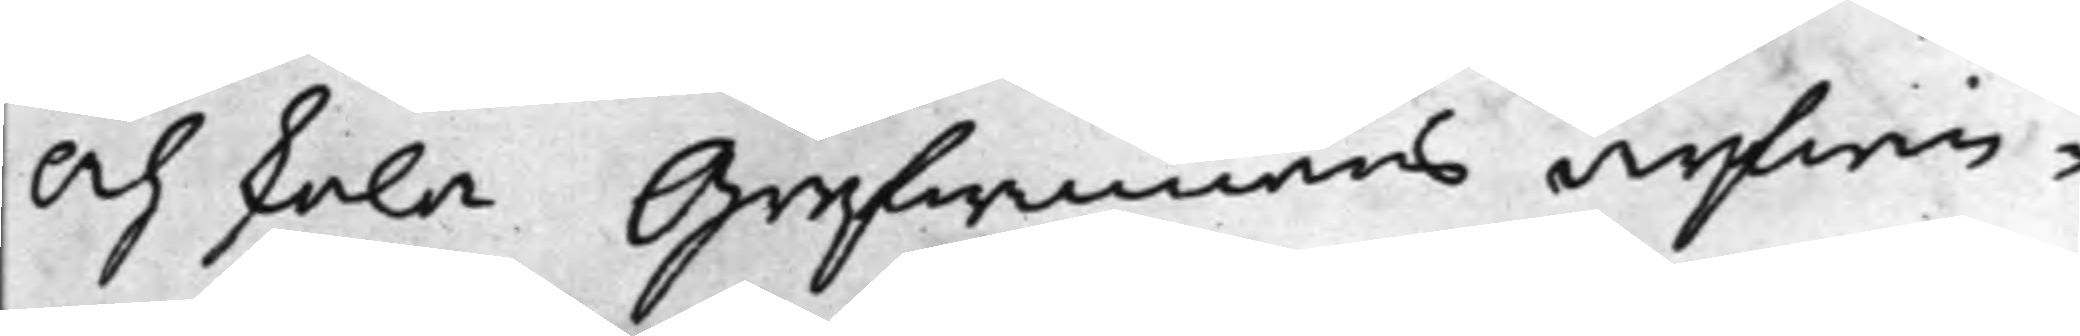Och skola Grefwinnans arfwin¬
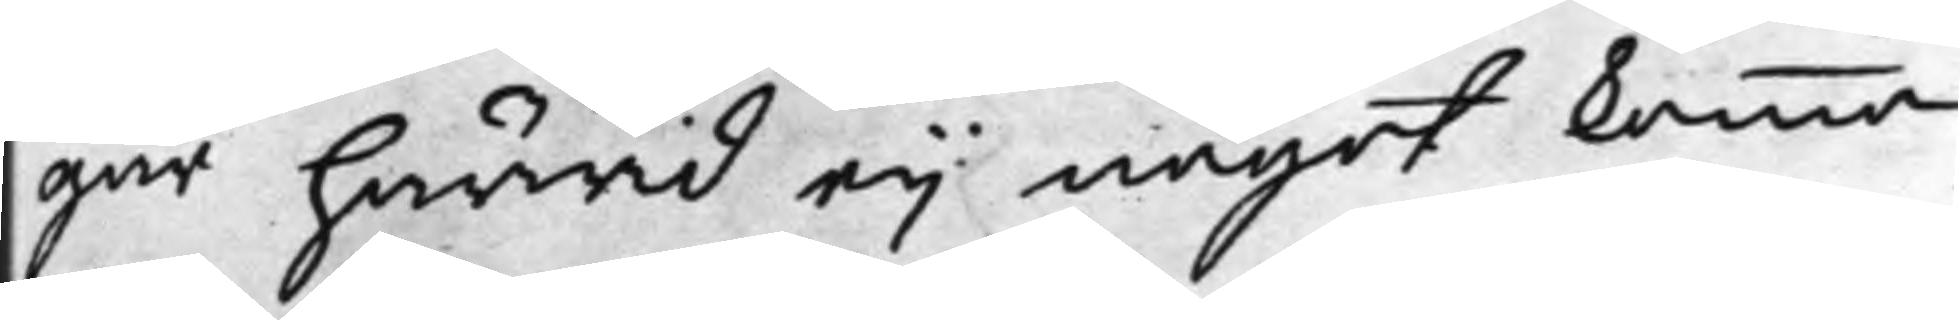gar härwid eij något komma
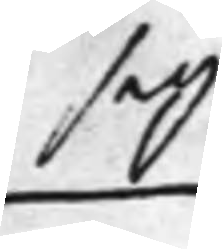sig
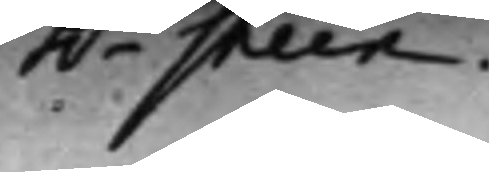h.r Steen.
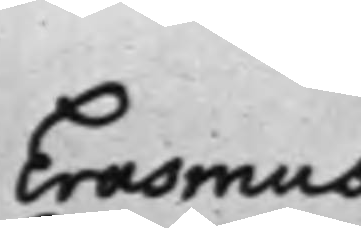Erasmus
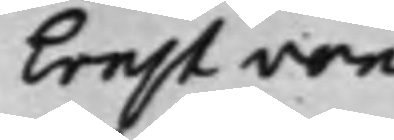Ernst von
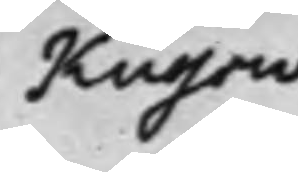Küssow
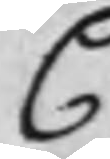C.
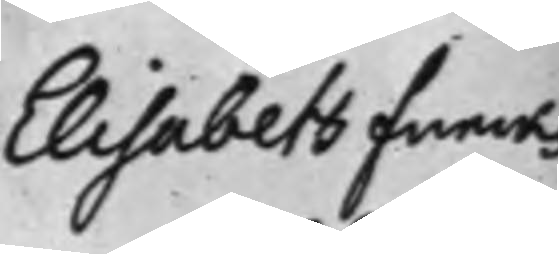Elisabeth Funcks
